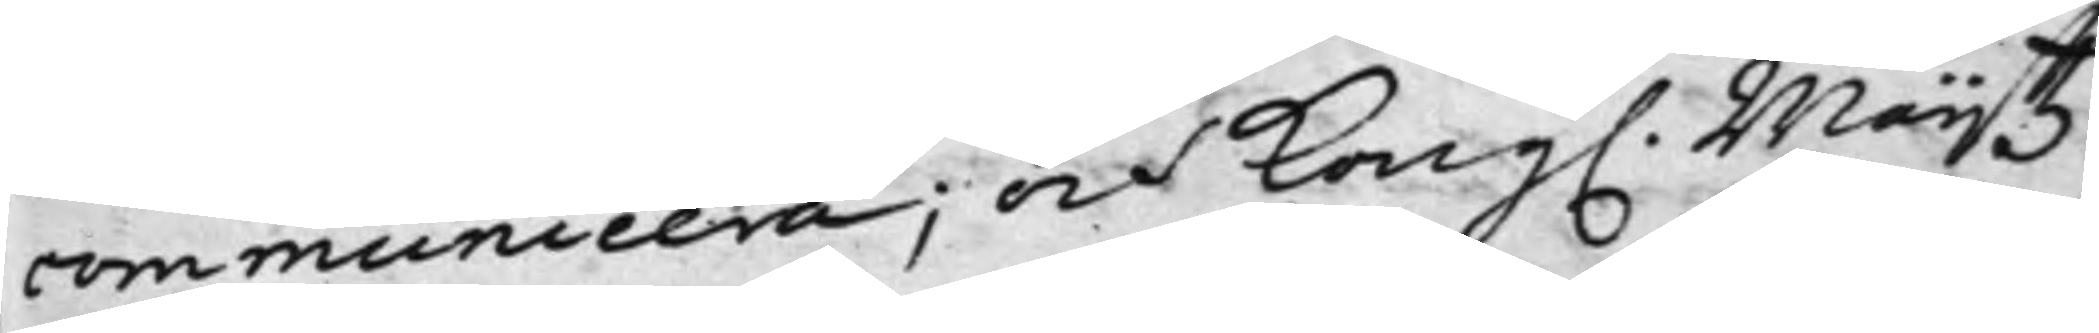communicera; och Kong. Maijtz
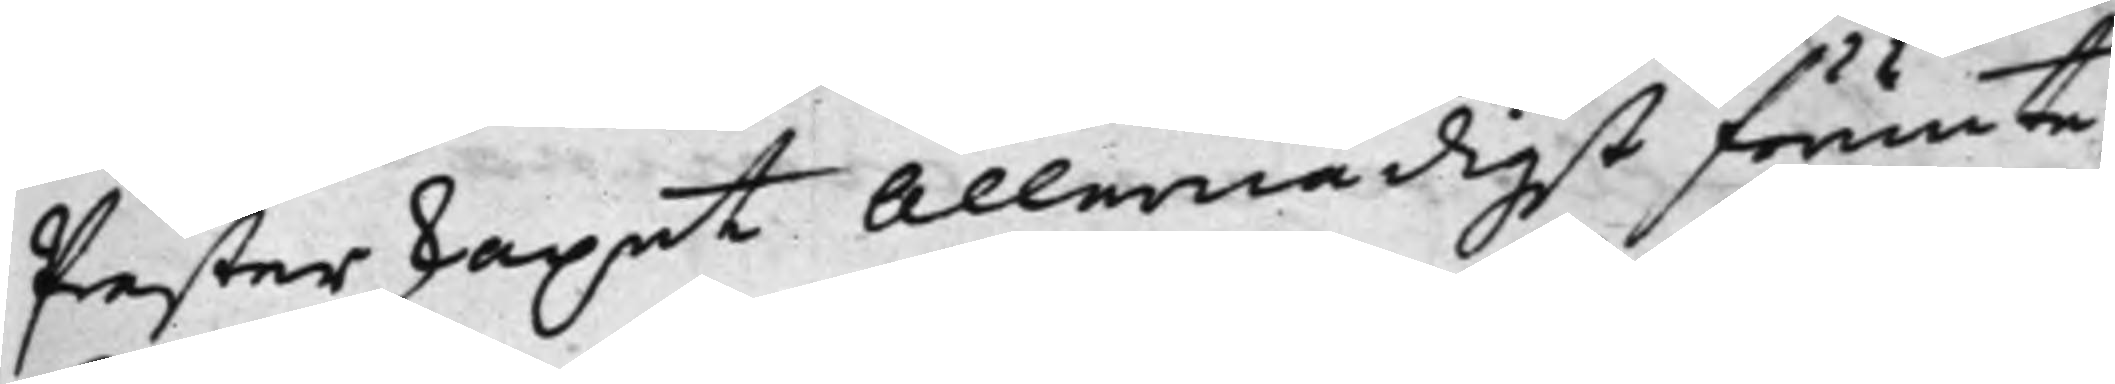Prästerskapet allernådigst förunte
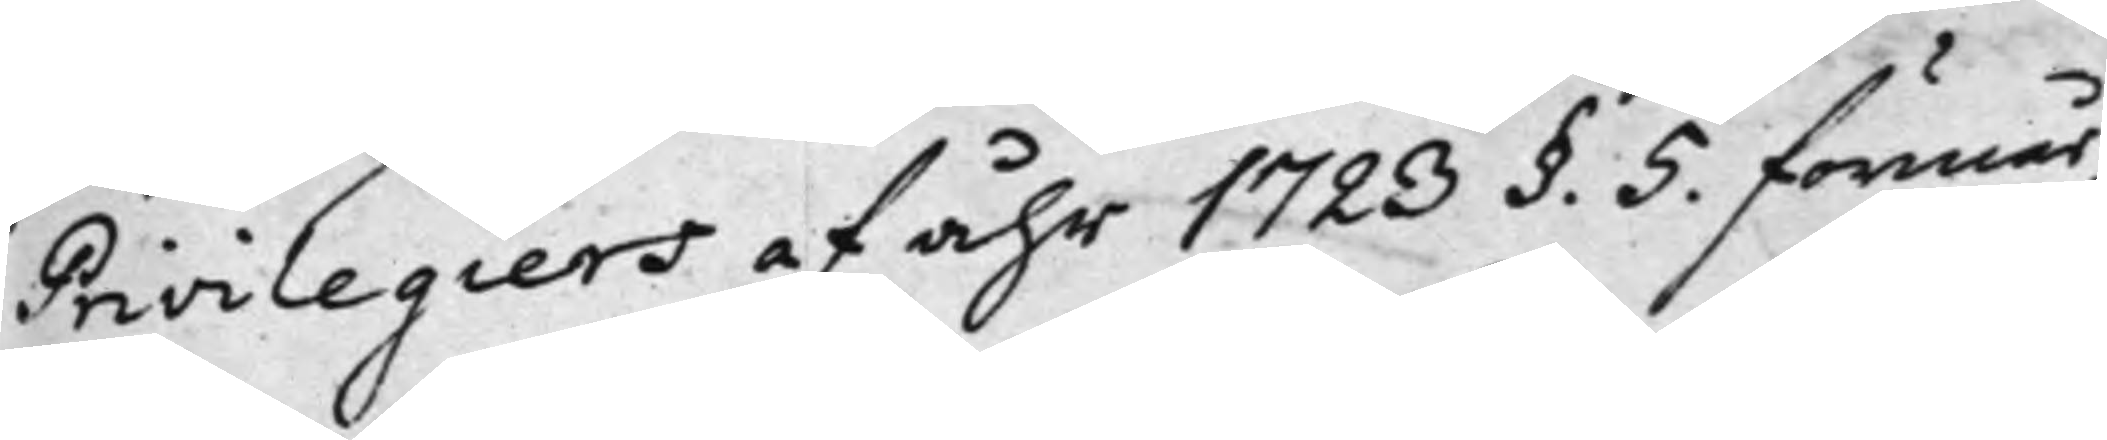Privilegiers af åhr 1723 §. 5. förmår,
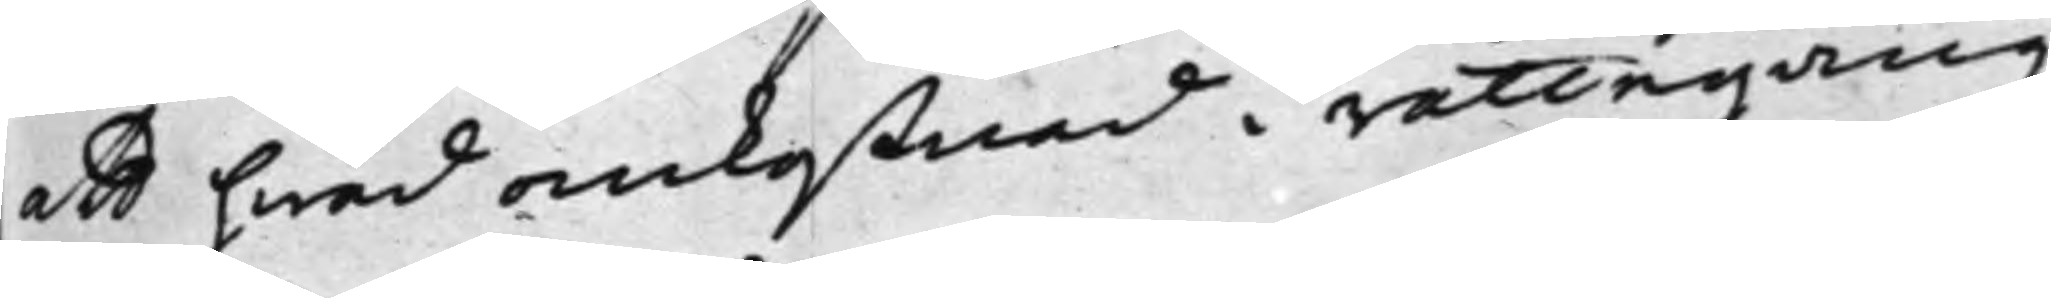att hwad omkostnad i rättegångs¬
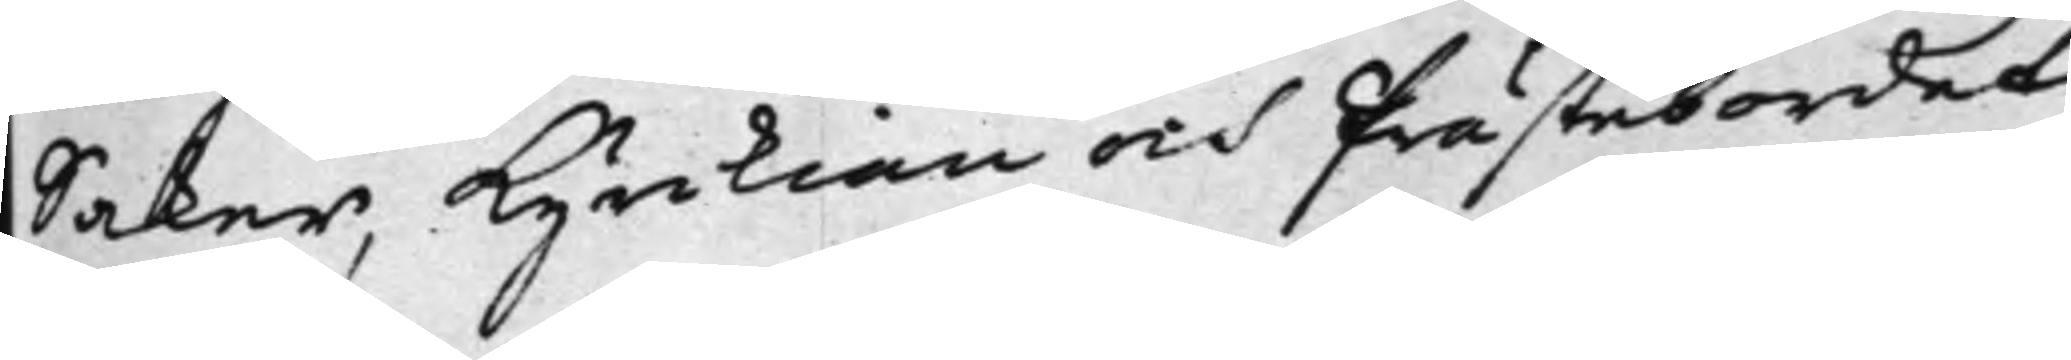Saker, Kyrckian och Prästebordet
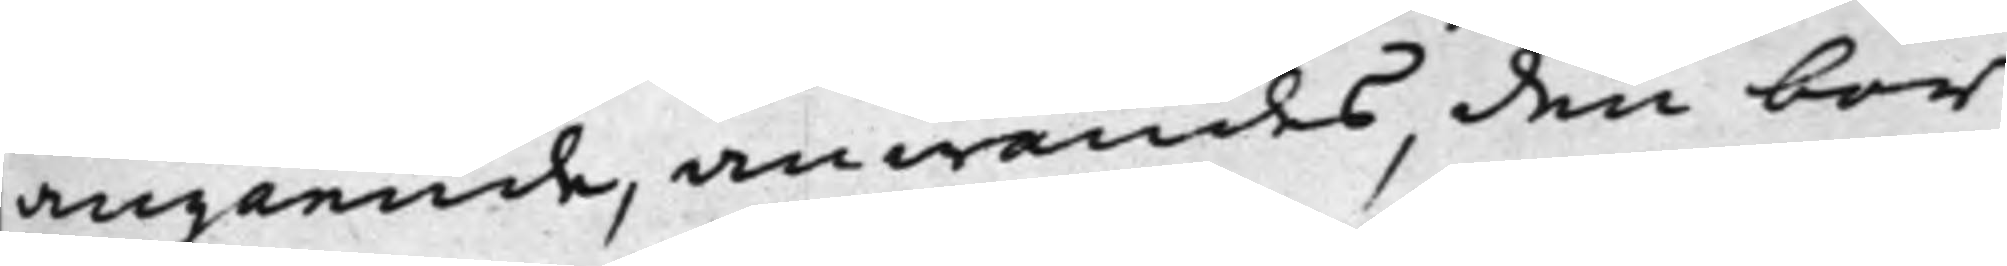angående, anwändes, den bör
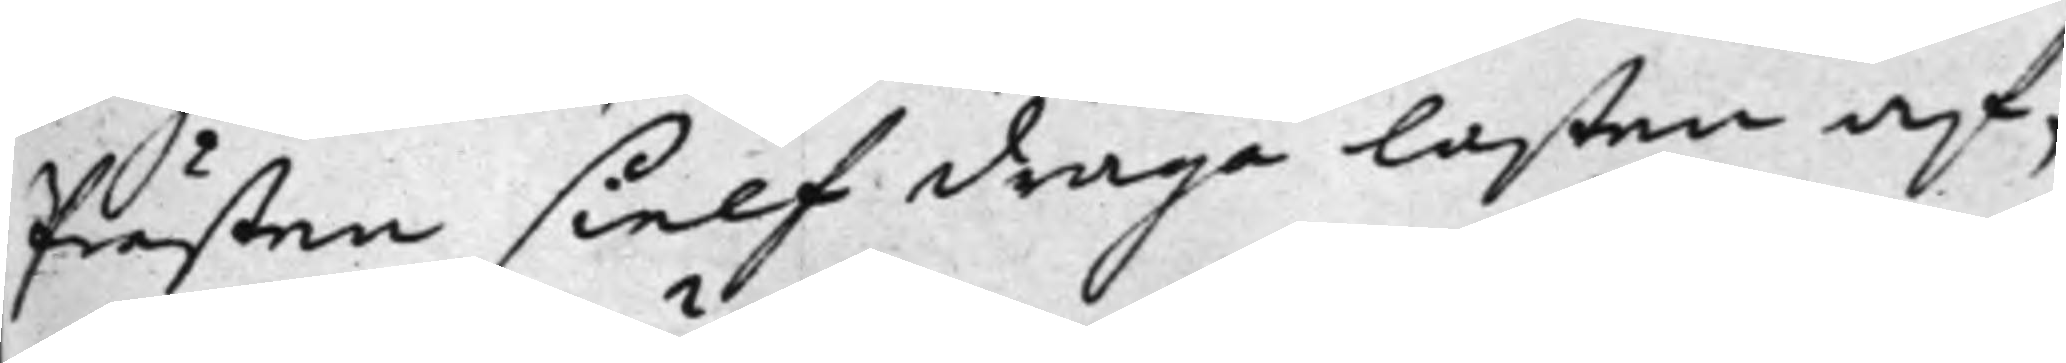Prästen sielf draga laßen af,
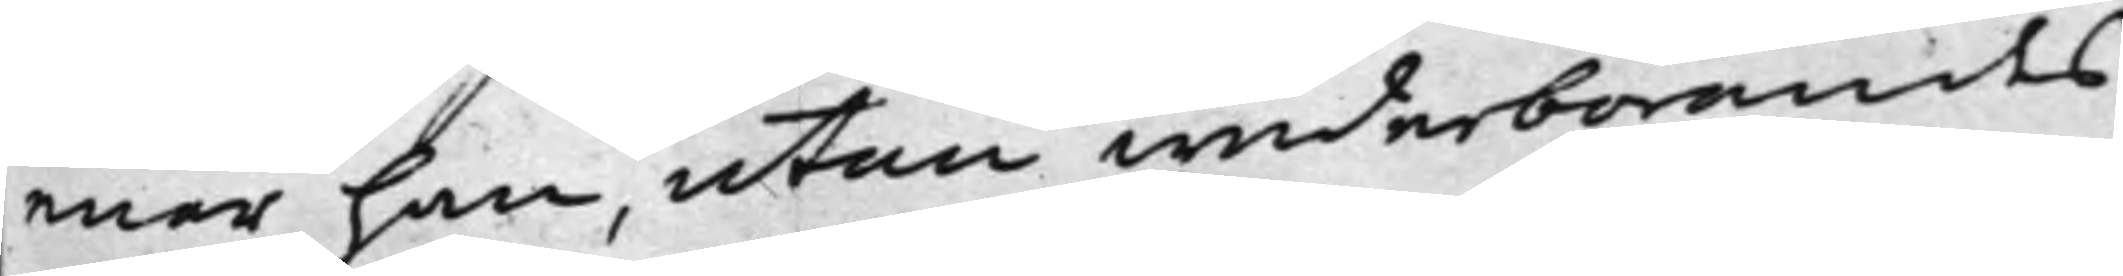enär han, utan wederbörandes
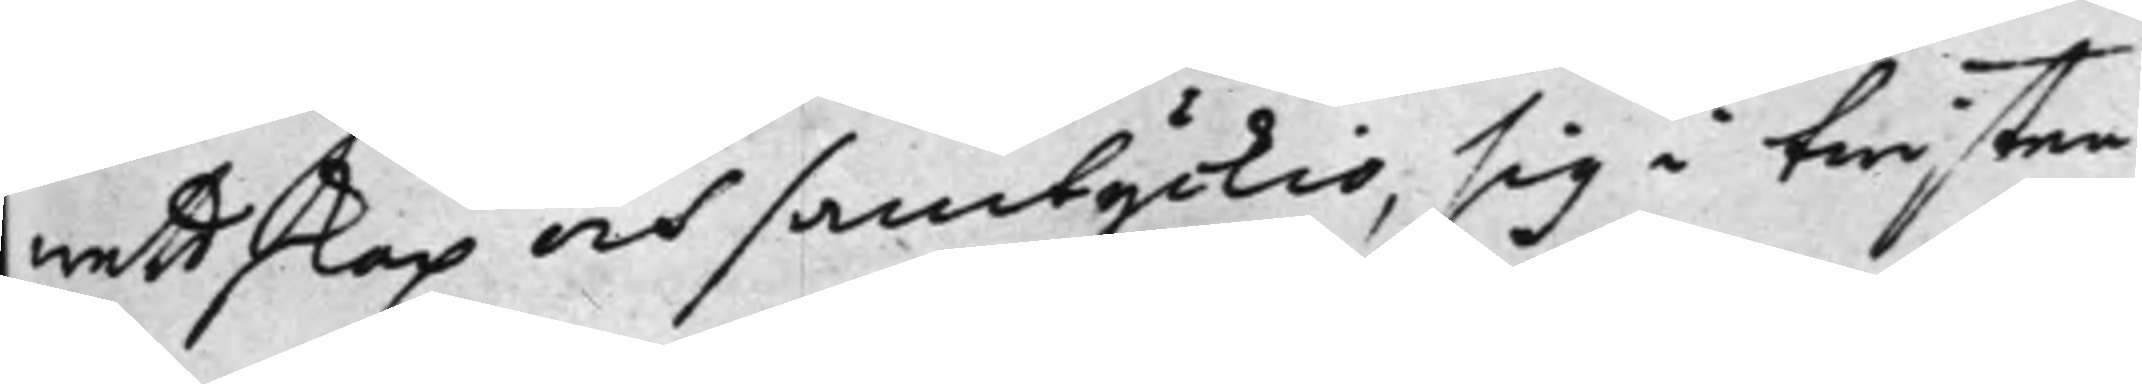wedtskap och samtyckio, sig i twisten
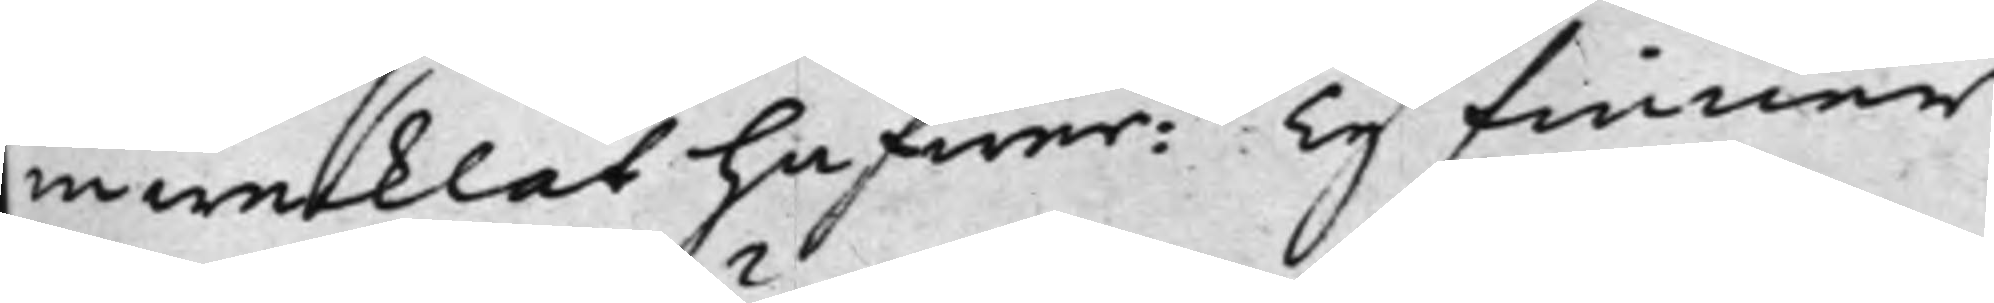inwecklat hafwer: Ty finner
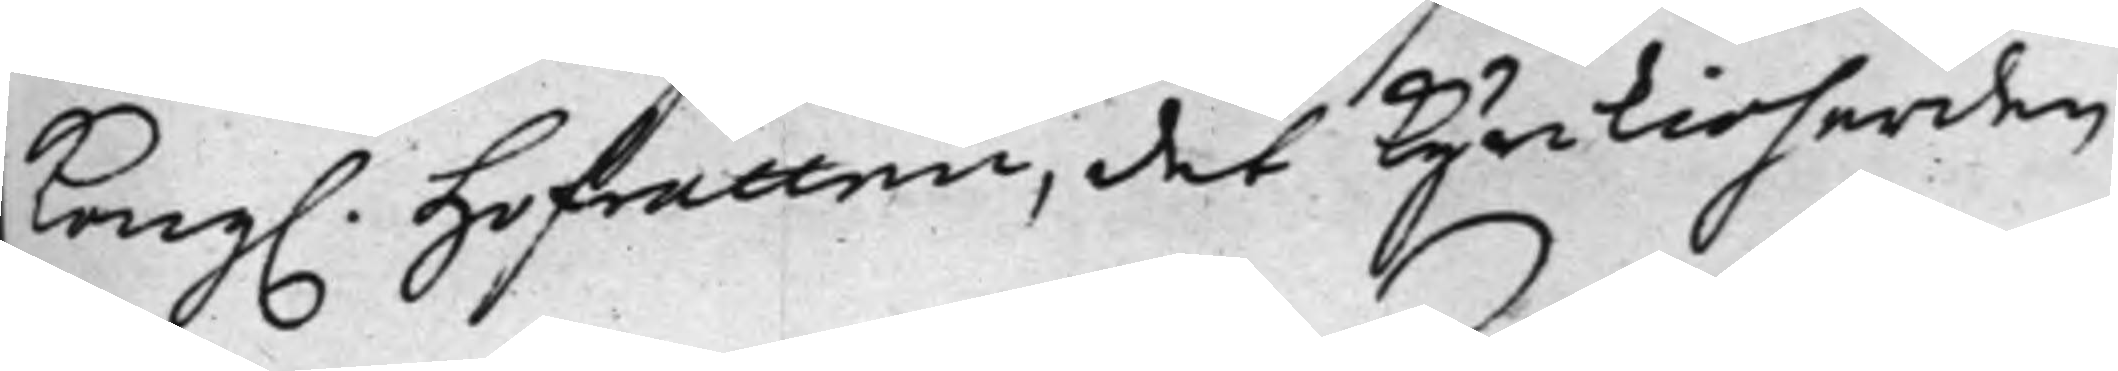Kongl. Hofrätten, det Kyrkioherden
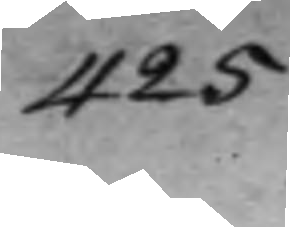425.
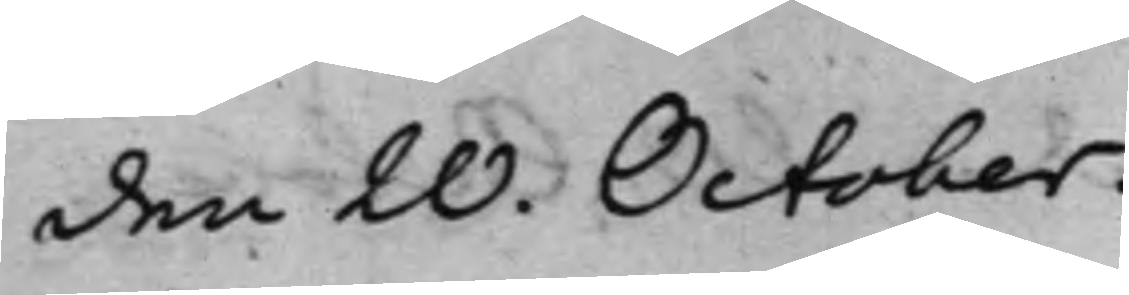den 20. October.
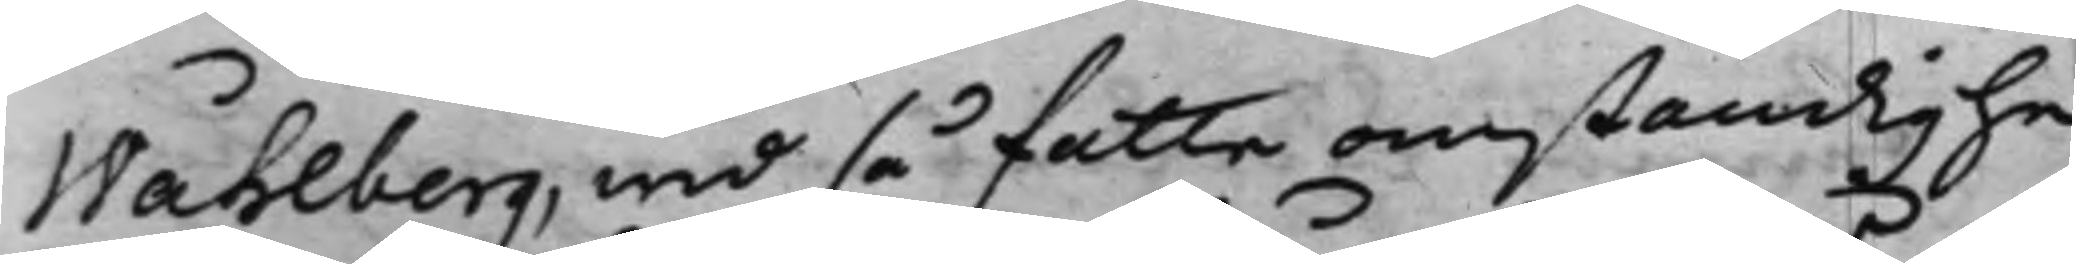Wåhlberg, wid så fatte omständighe¬
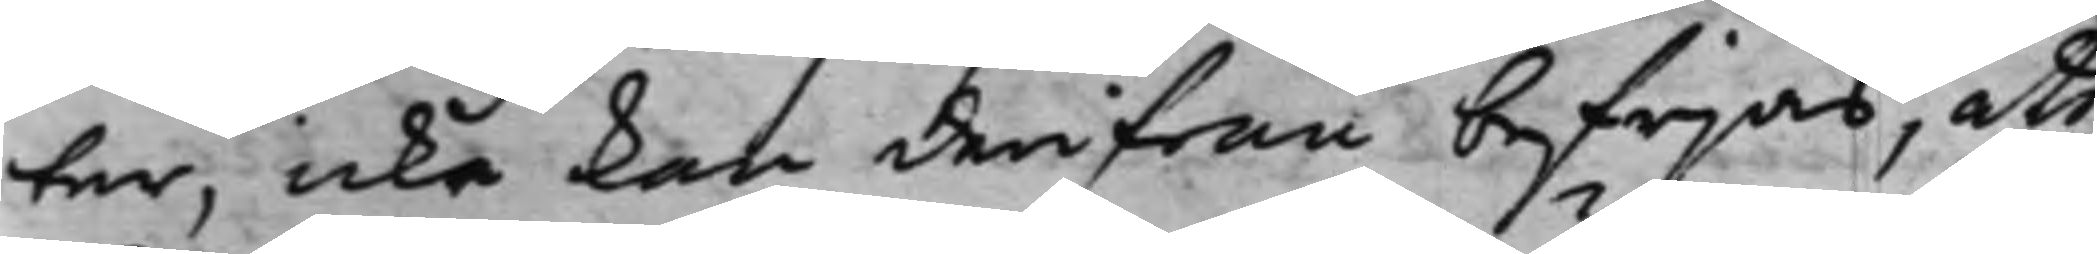ter, icke kan derifrån befrijas, att
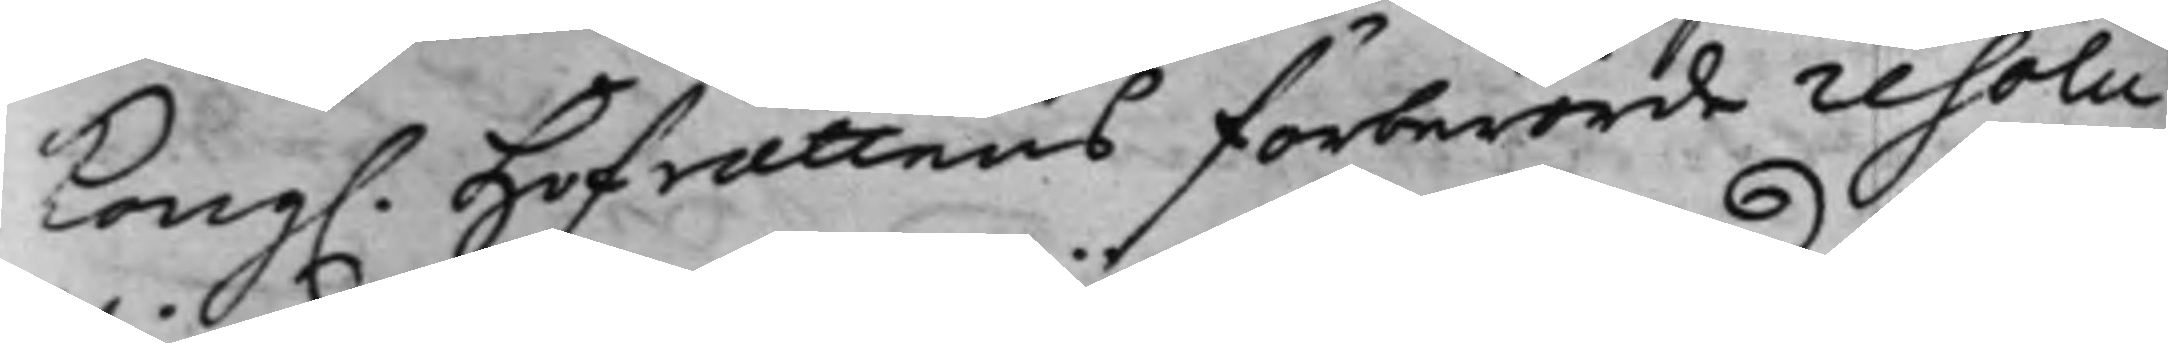Kong. Hofrättens förberörde resolu¬
